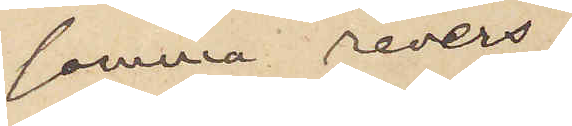samma revers,
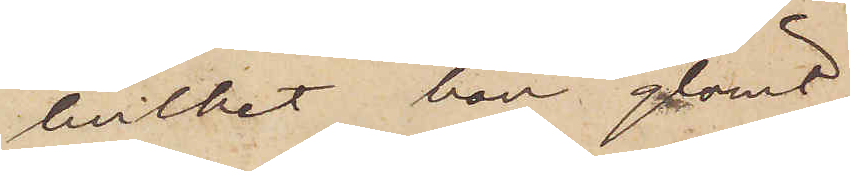hvilket han glömt
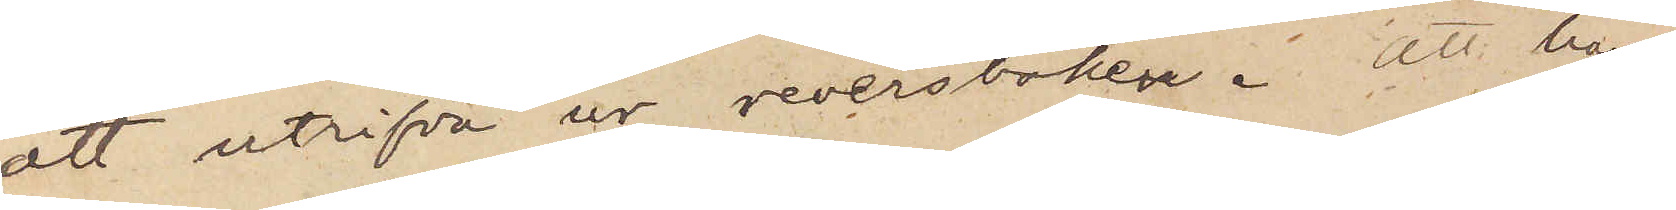att utrifva ur reversboken. Att han
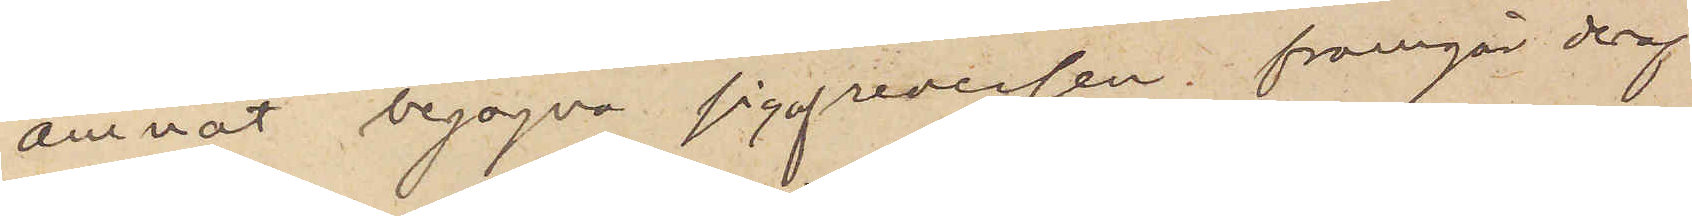ämnat begagna sig af reversen framgår deraf
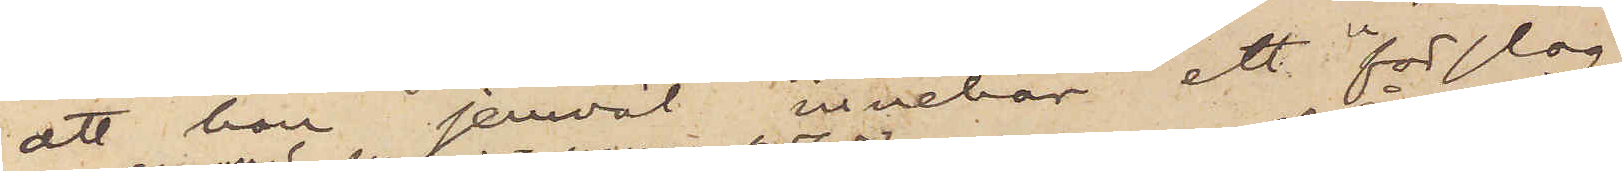att han jemväl innehar ett "förslag"
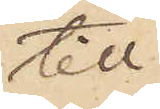till
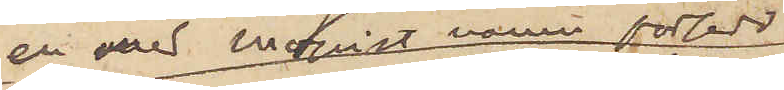en med Moqvist namn försedd
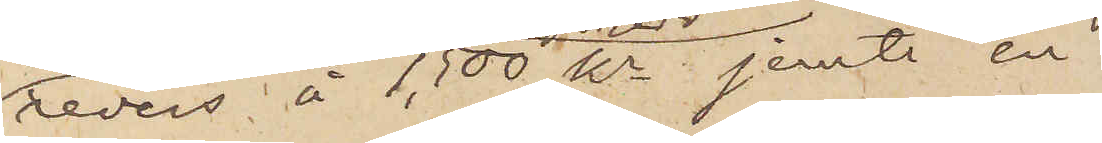revers å 1,500 kr jemte en
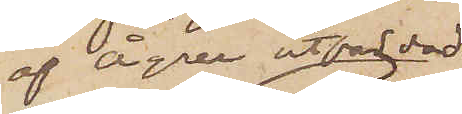af Ågren utfärdad
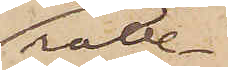rätte¬
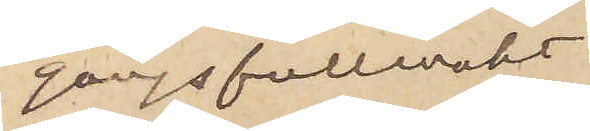gångsfullmakt
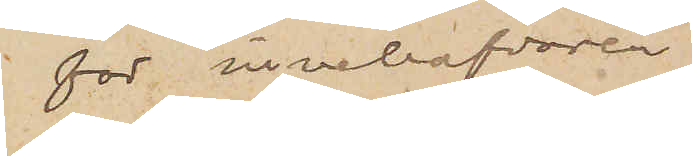för innehafvaren
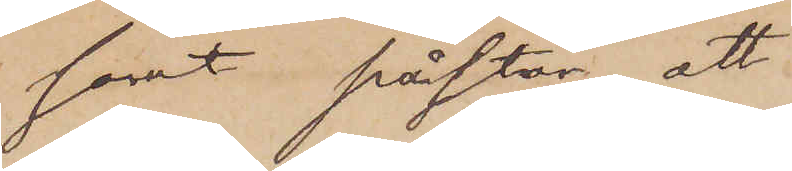samt påstår att
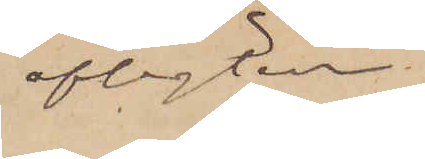afsigten
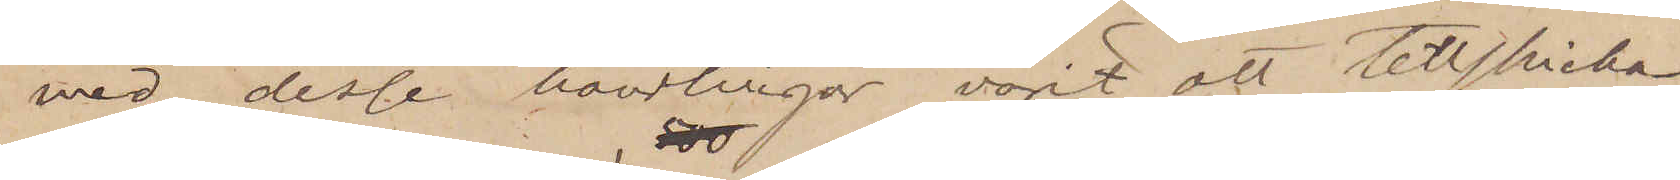med desse handlingar varit att tillskicka
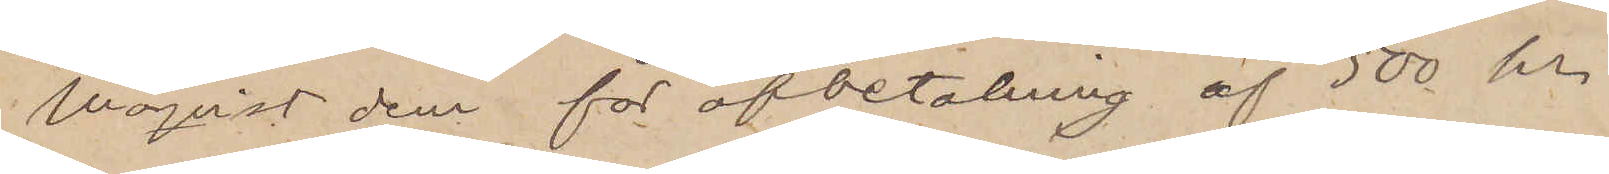Moqvist dem för afbetalning af 500 kr
